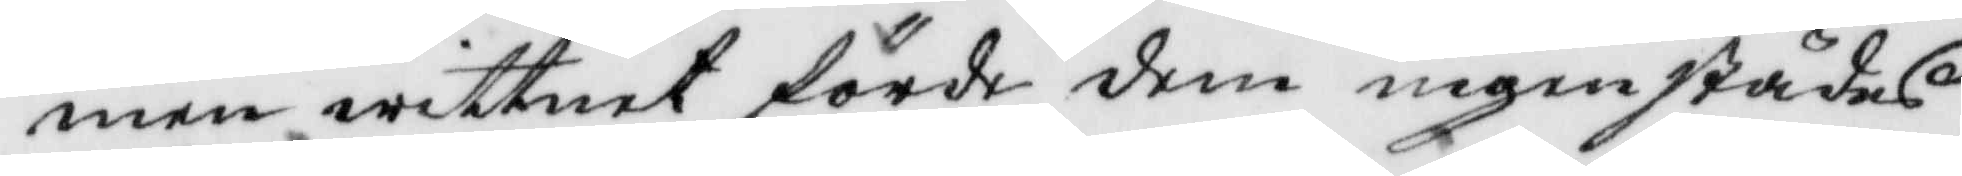men wittnet förde dem ingenstädes
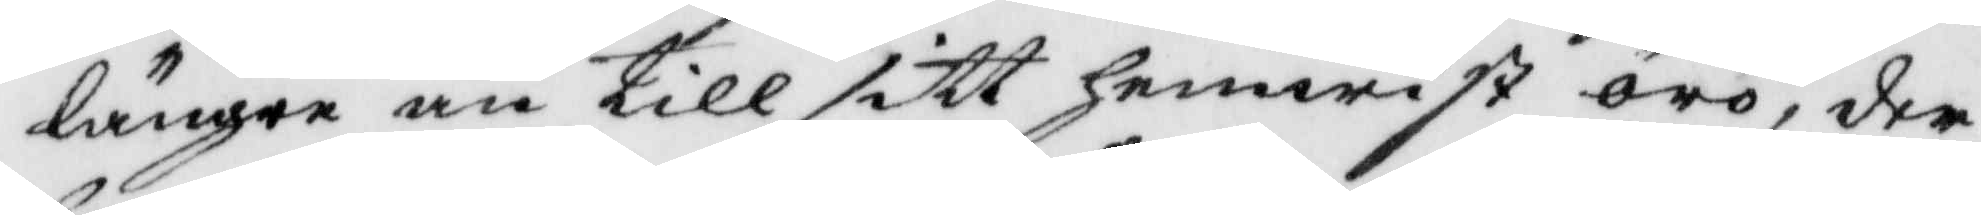längre än till sitt hemwist örö, der
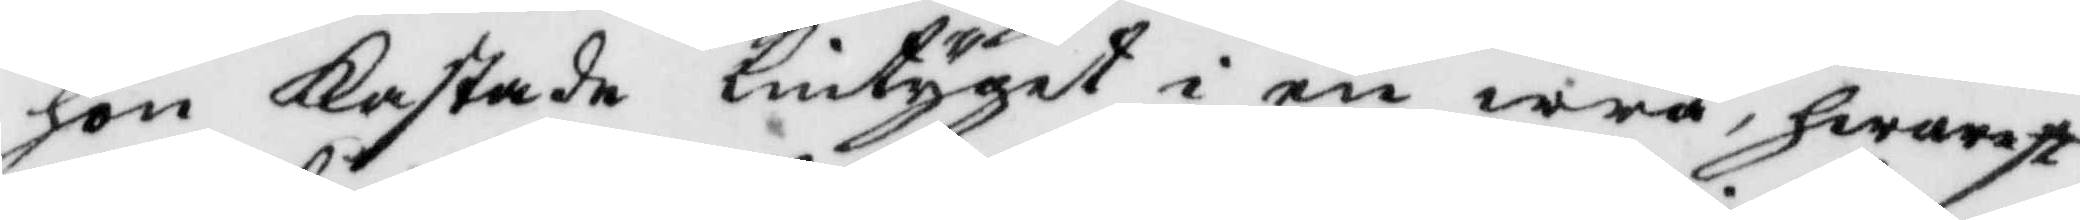hon Kastade lintyget i en wrå, hwarest
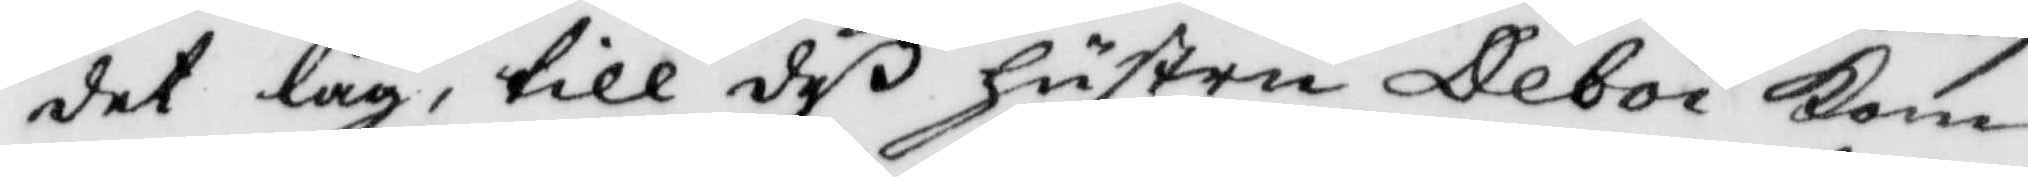det låg, till deß hustru Deboi Kom
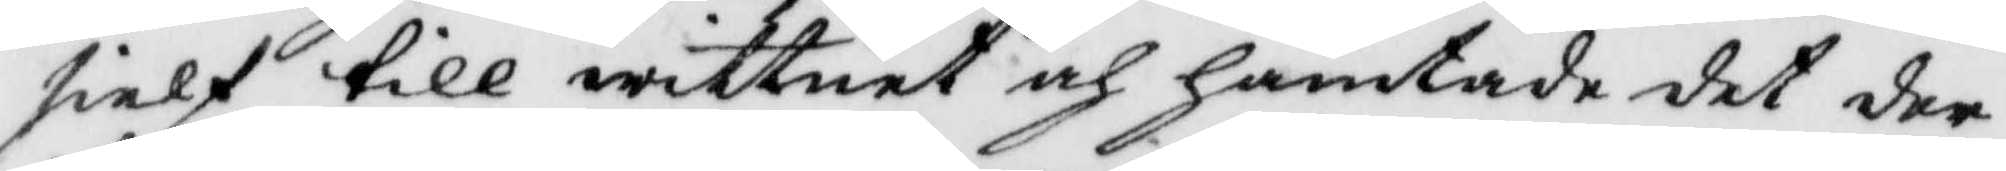sielf till wittnet och hämtade det der
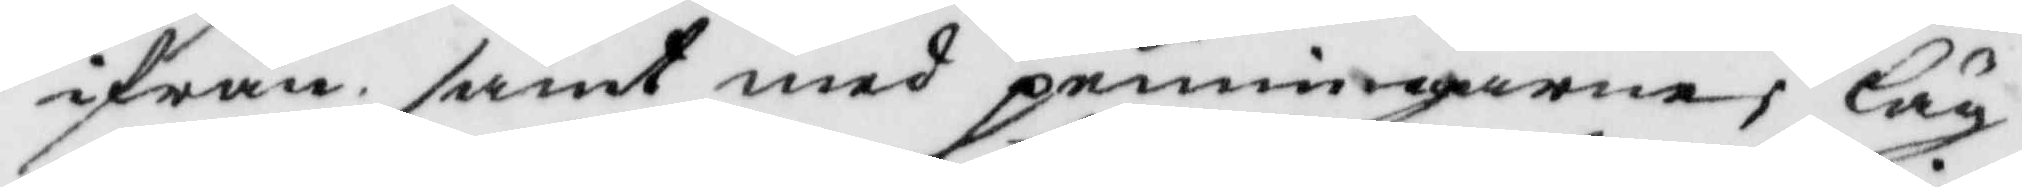ifrån samt med penningarne; läg¬
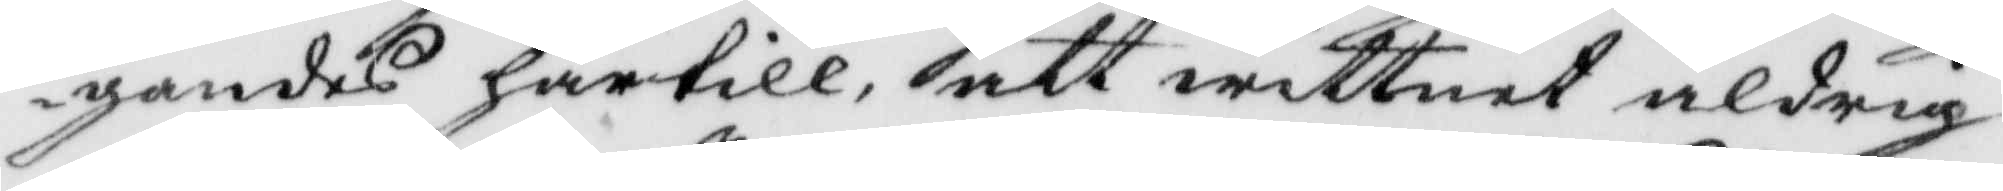gandes härtill, att wittnet aldrig
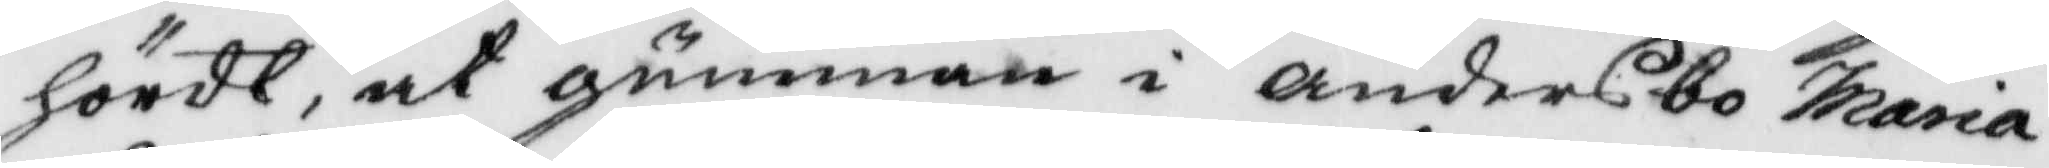hördt, at gumman i andersbo maria
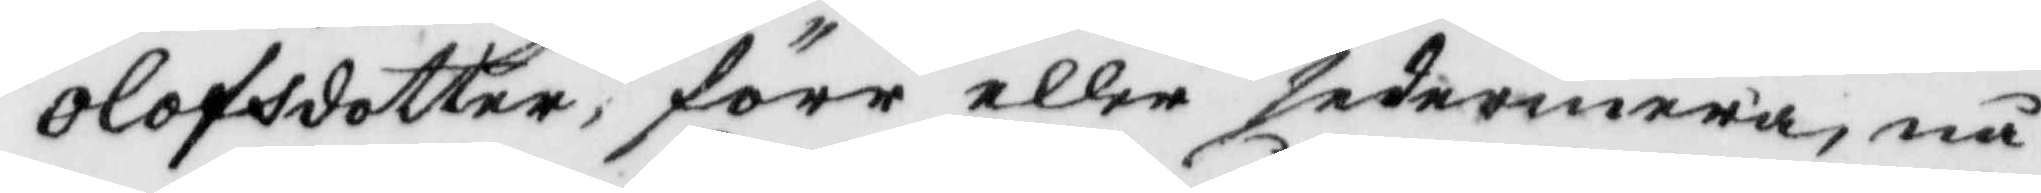Olofsdotter, förr eller sedermera, nå¬
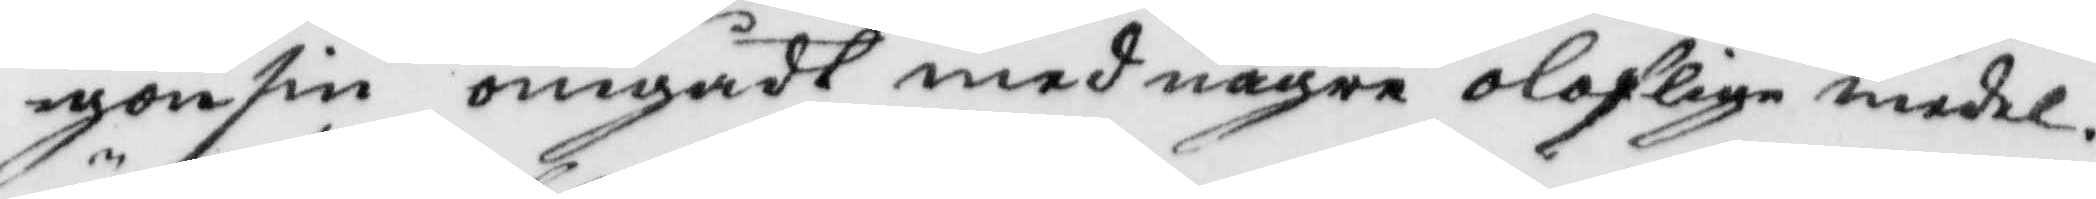gonsin omgådt med någre oloflige medel.
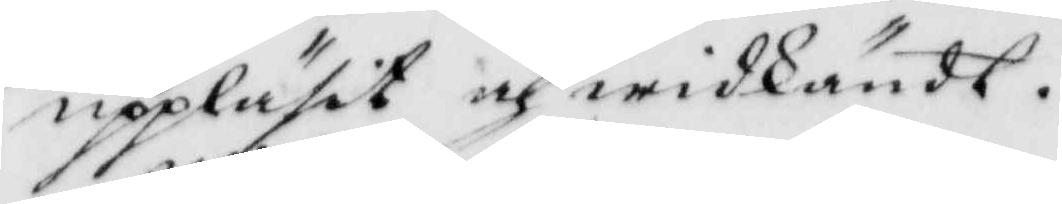uppläsit och widkändt.
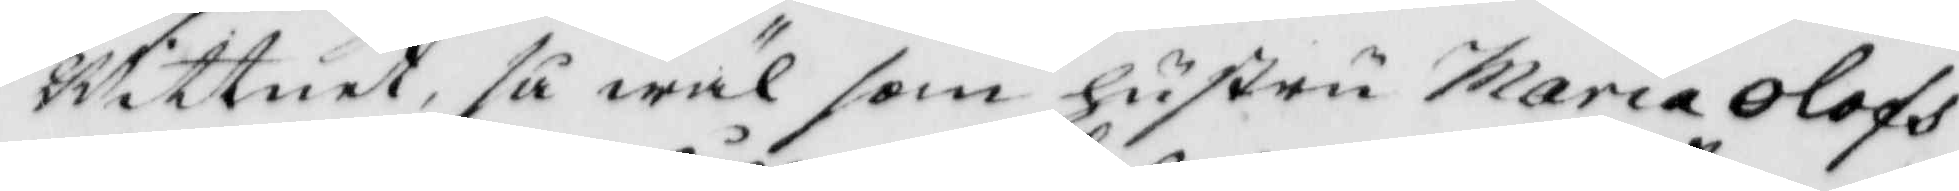Wittnet, så wäl som hustru maria Olofs¬
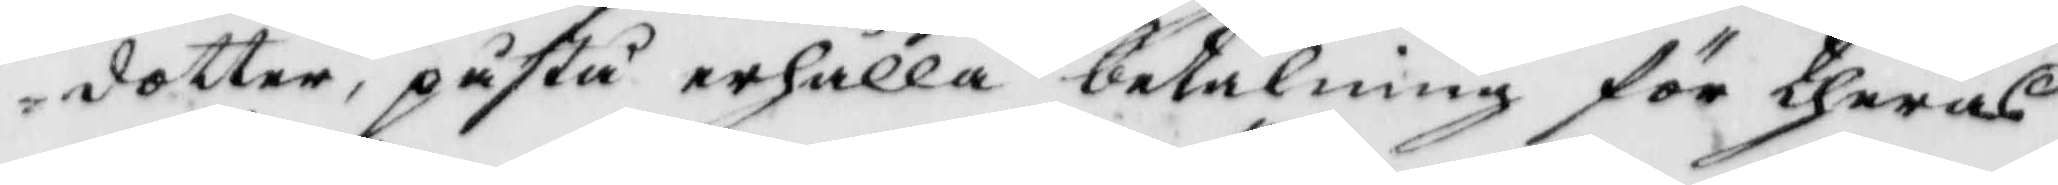dotter, påstå erhålla betalning för theras
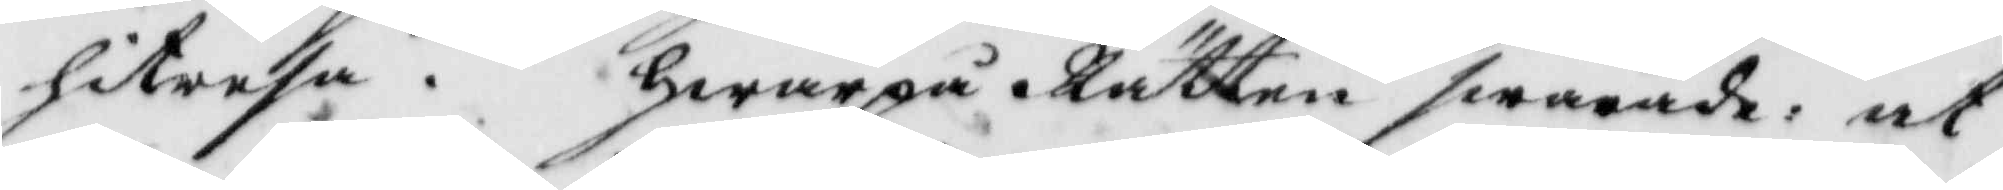hitresa. hwarpå Rätten swarade, at
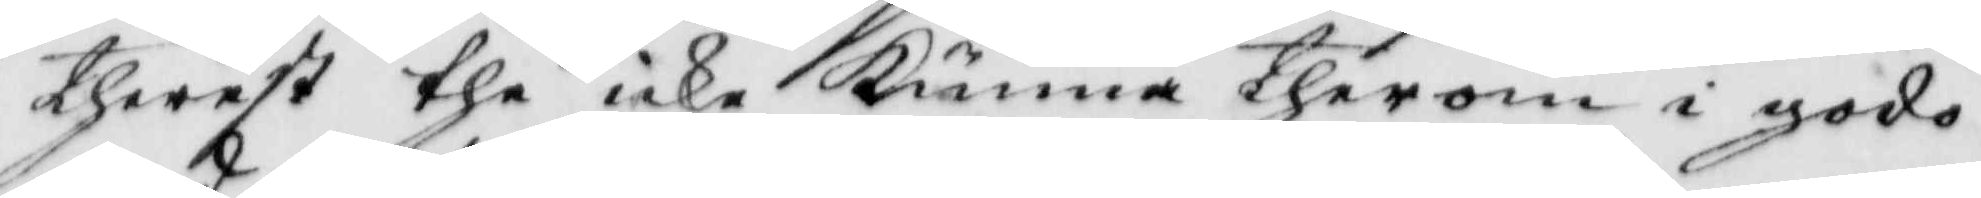therest the icke Kunna therom i godo
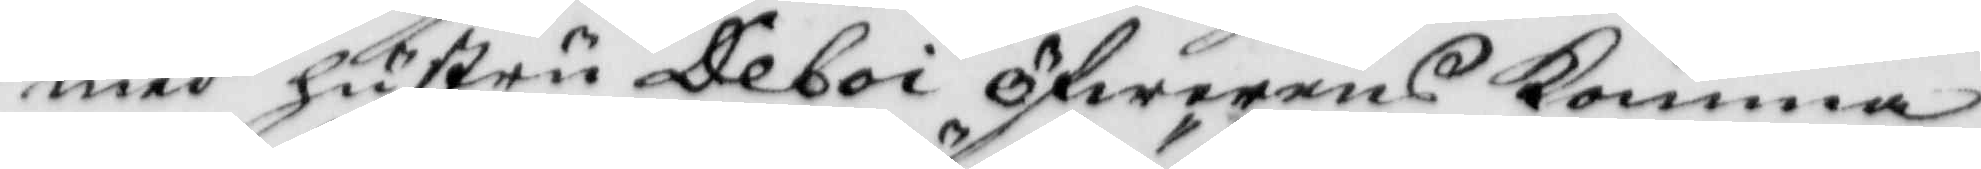med hustru Deboi öfwerens Komma,
